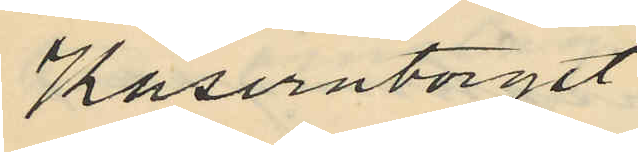Kaserntorget.
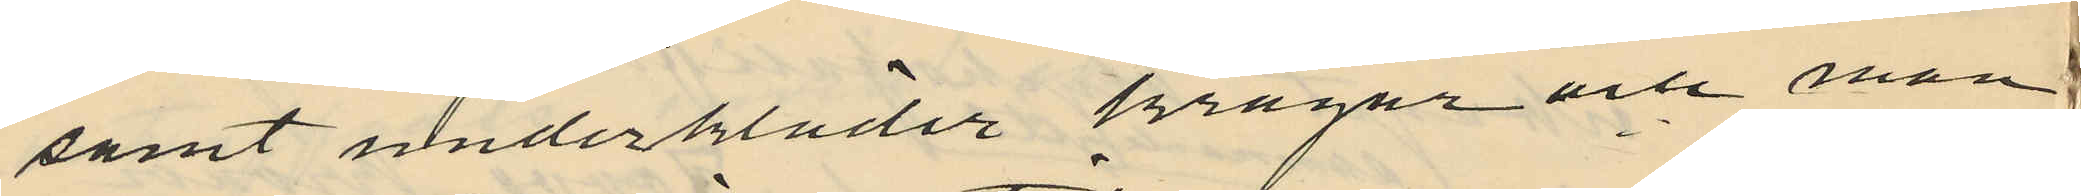samt underkläder kragar och man
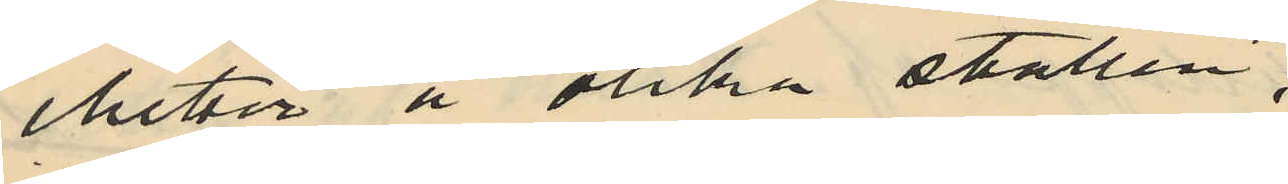chetter å olika ställen.
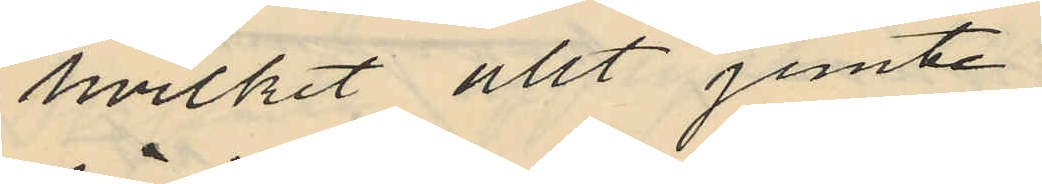hvilket allt jemte
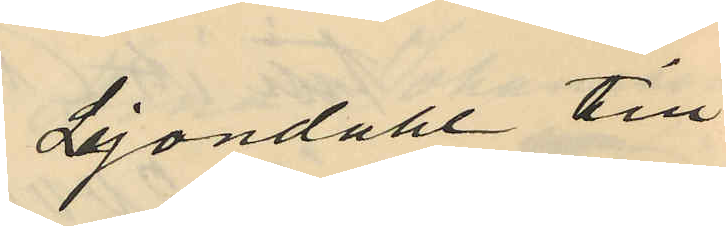Lejondahl till
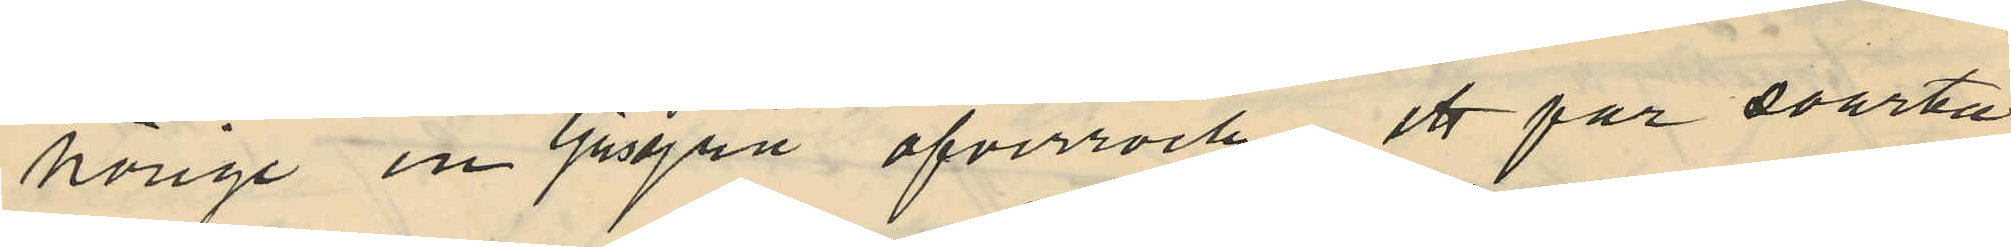hörige en ljusgrå öfverrock, ett par svarta
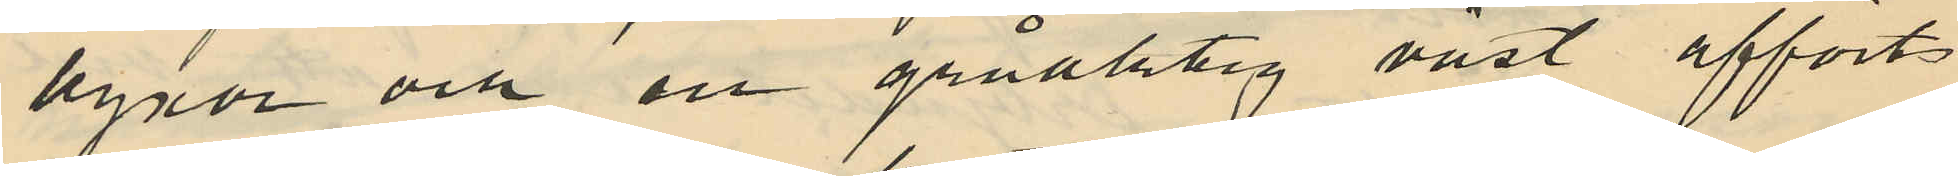byxor och en gråaktig väst afförts
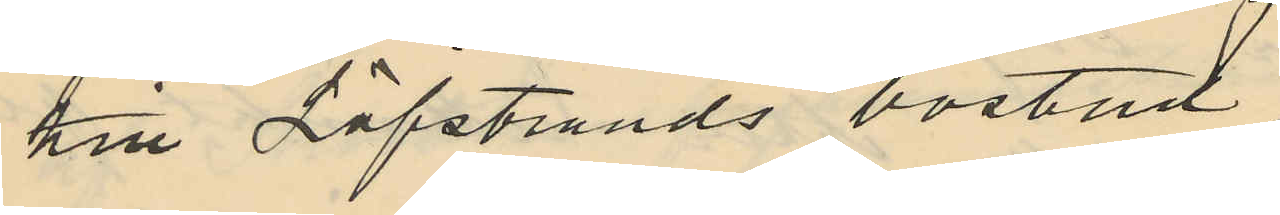till Löfstrands bostad.
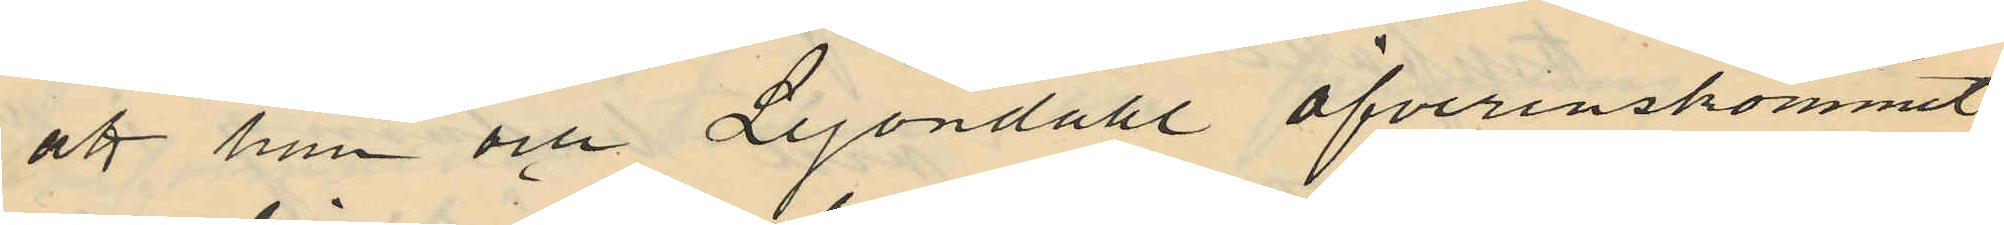att han och Lejondahl öfverenskommit,
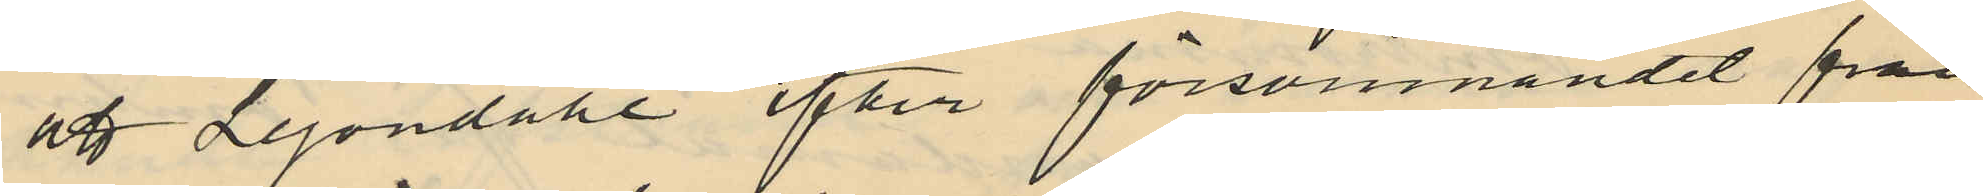att Lejondahl efter försvinnandet från
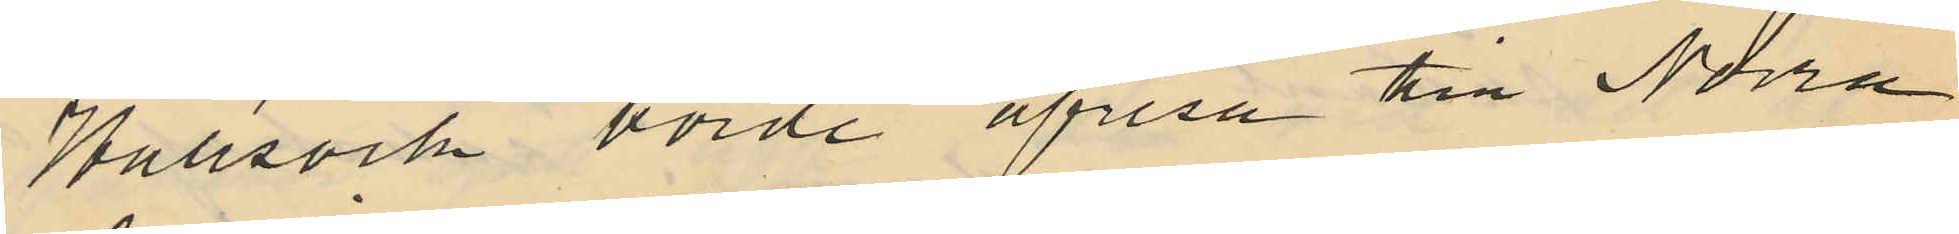Hallsvik borde afresa till Norra
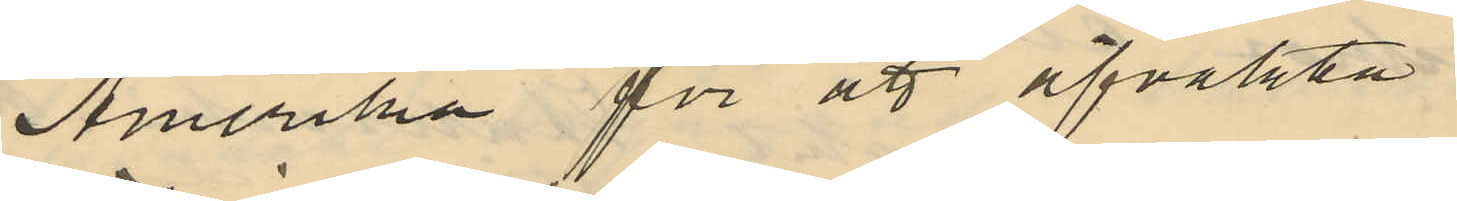Amerika för att afvakta
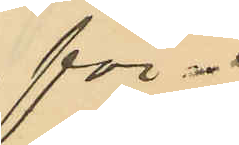för¬
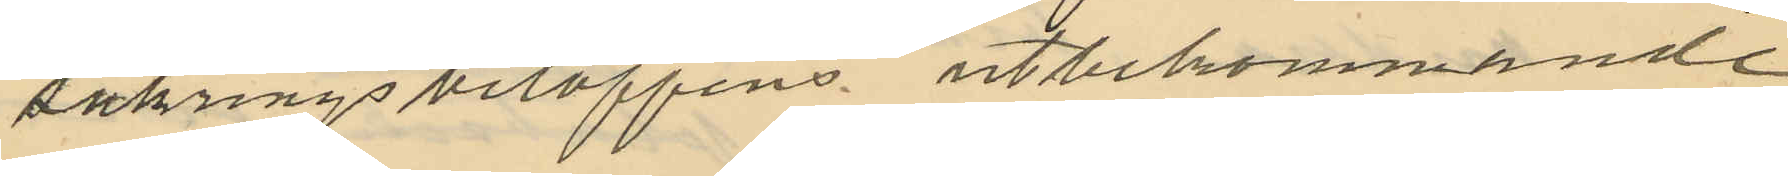säkringsbeloppens utbekommande
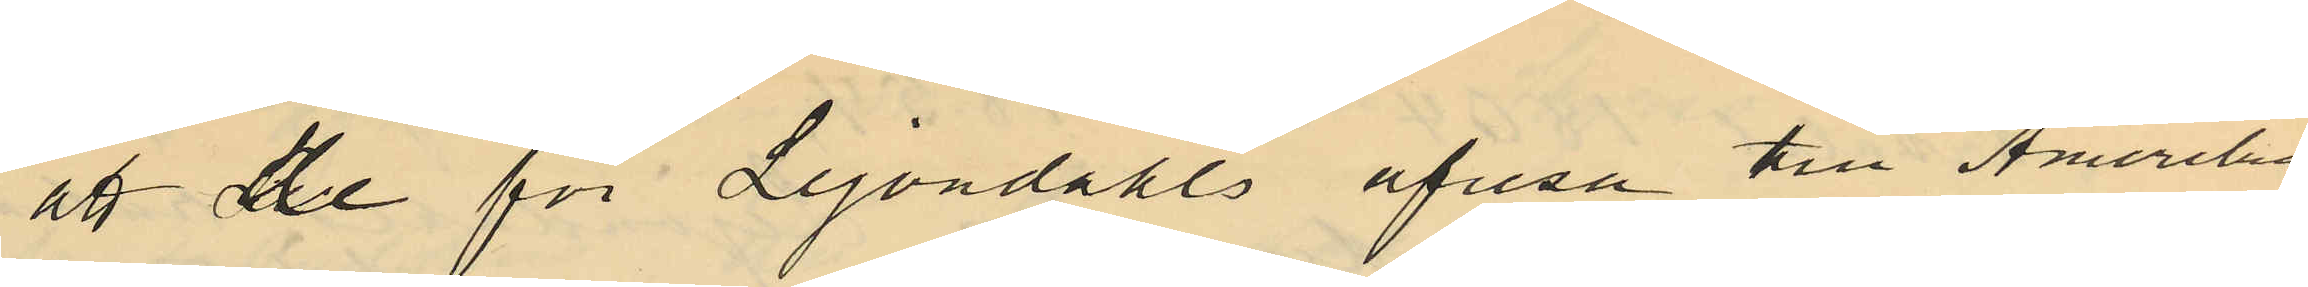att de för Lejondahls afresa till Amerika
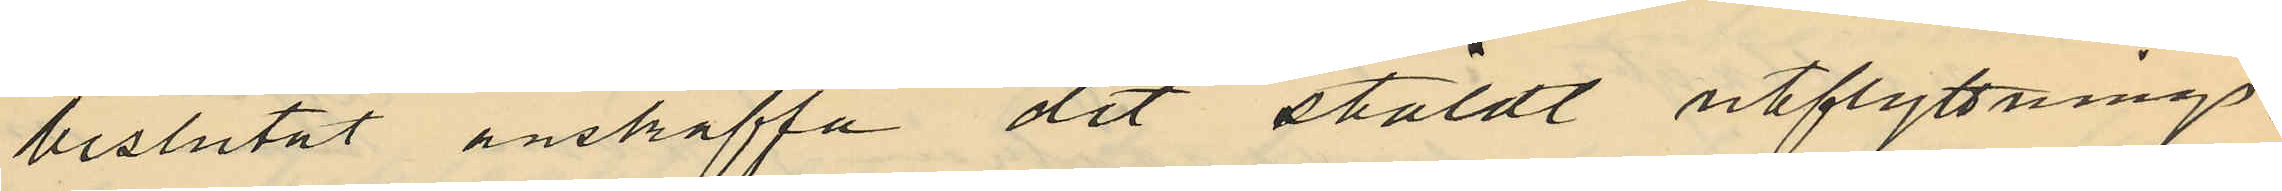beslutat anskaffa dit stäldt utflyttnings¬
